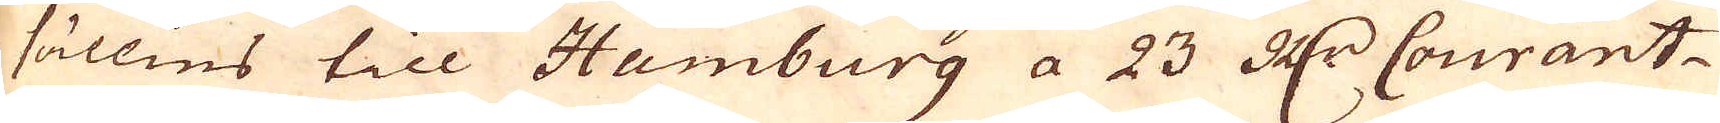sällies till Hamburg a 23 R:dr Courant
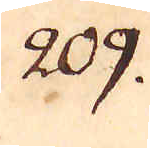209.
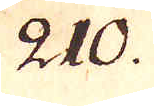210.
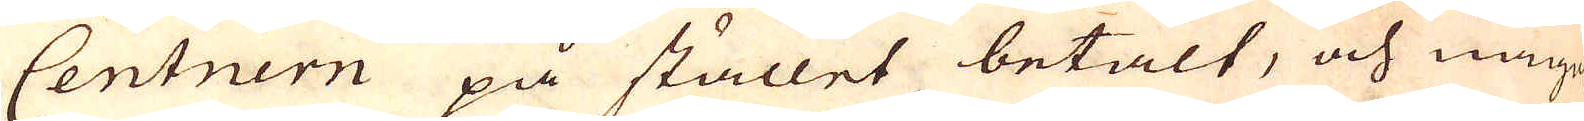Centnern på stället betalt, och något
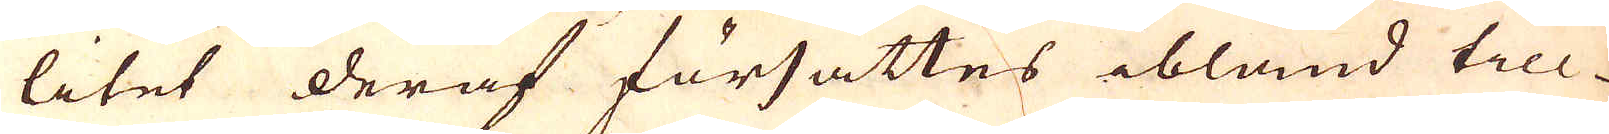litet deraf försättes ibland till
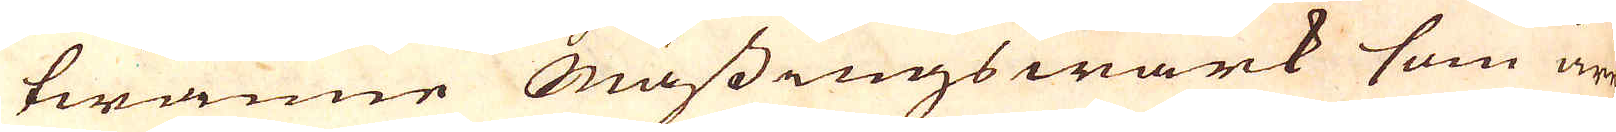twänne Mässingswärk som är
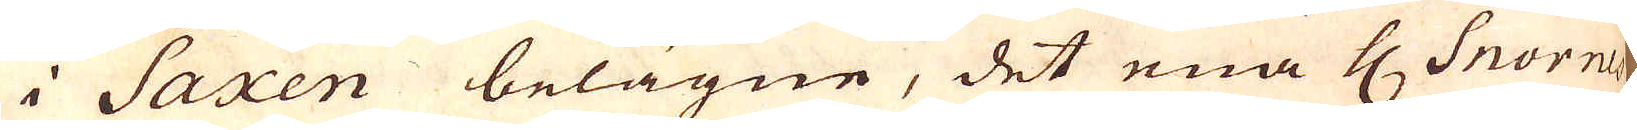i Saxen belägne, det ena H Snornes
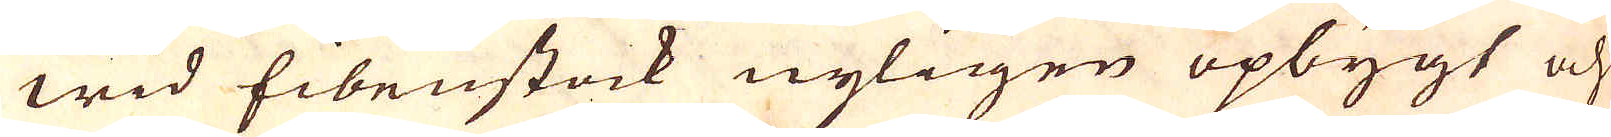wid Eibenstock nyligen opbygt och
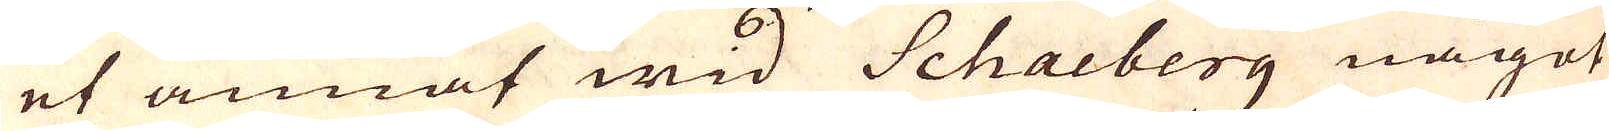et annat mid Schacberg något
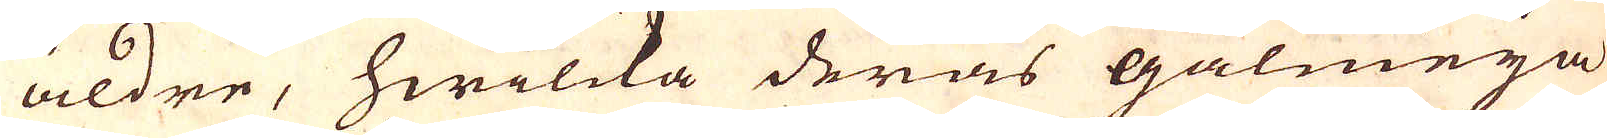äldre, hwilcka deras galmeja
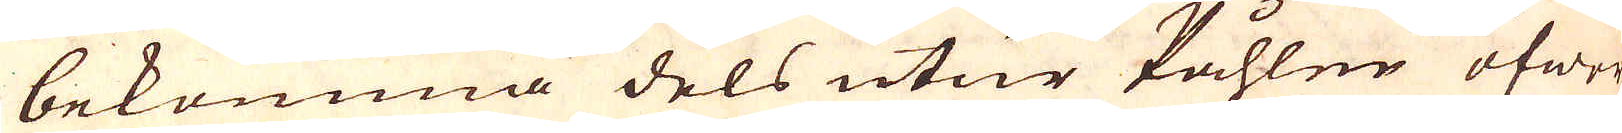bekomma dels utur Påhlen öfwer
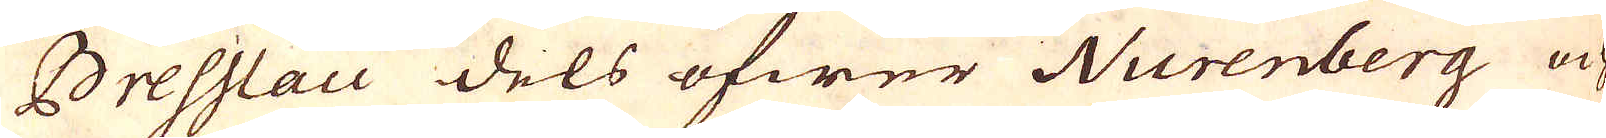Bresslau dels öfwer Nurenberg och
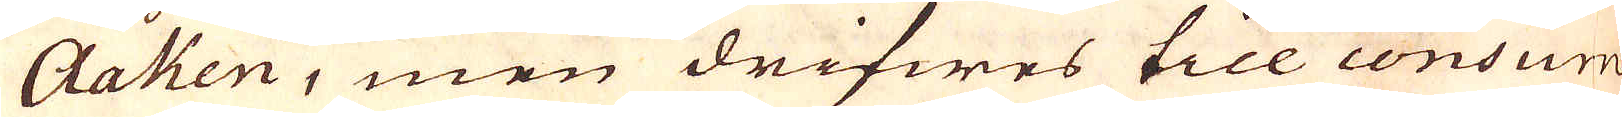Aahen, men drifwes till consum-
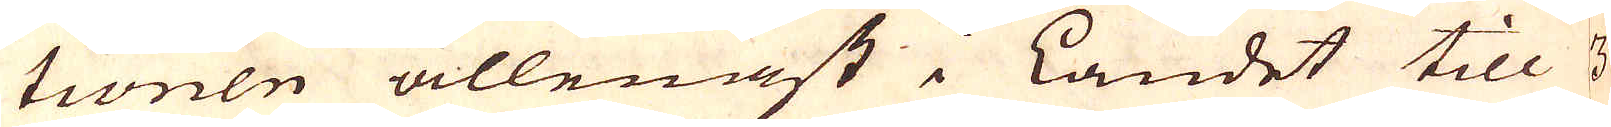tionen allenast i Landet till 3 a
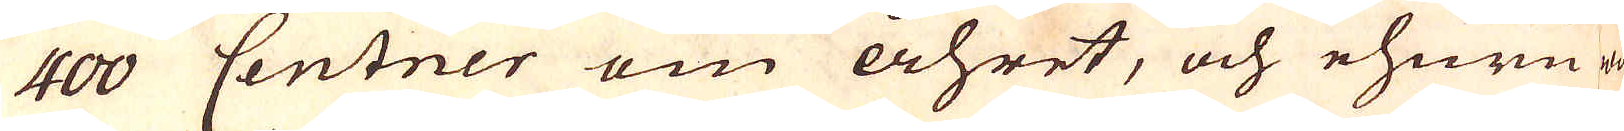400 Centner om åhret, och ehuru
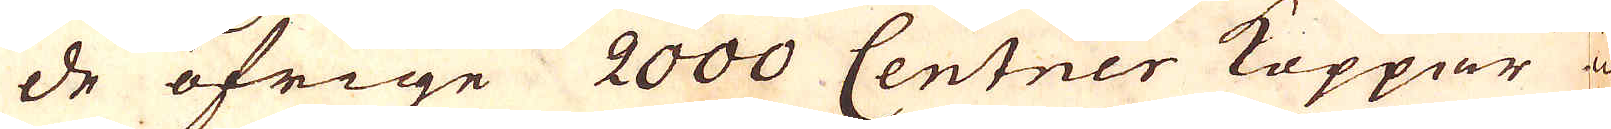de öfrige 2000 Centner Koppar icke
